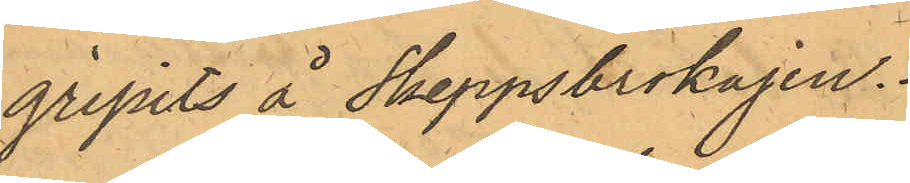gripits å Skeppsbrokajen.
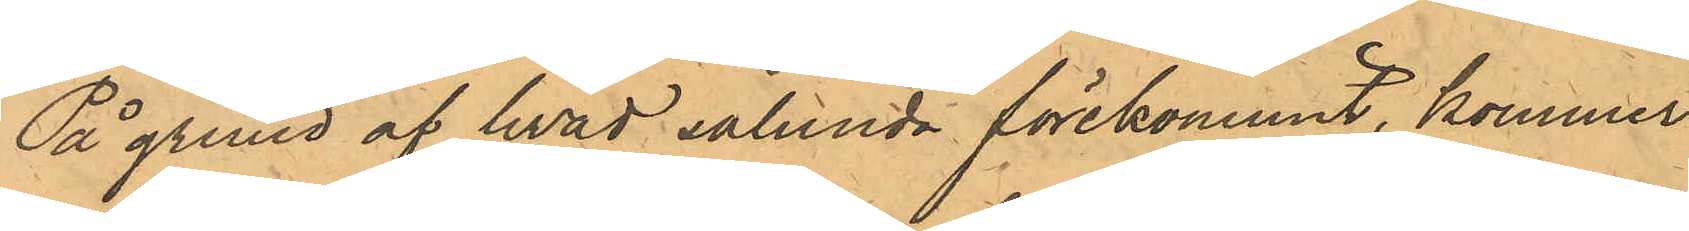På grund af hvad sålunda förekommit, kommer
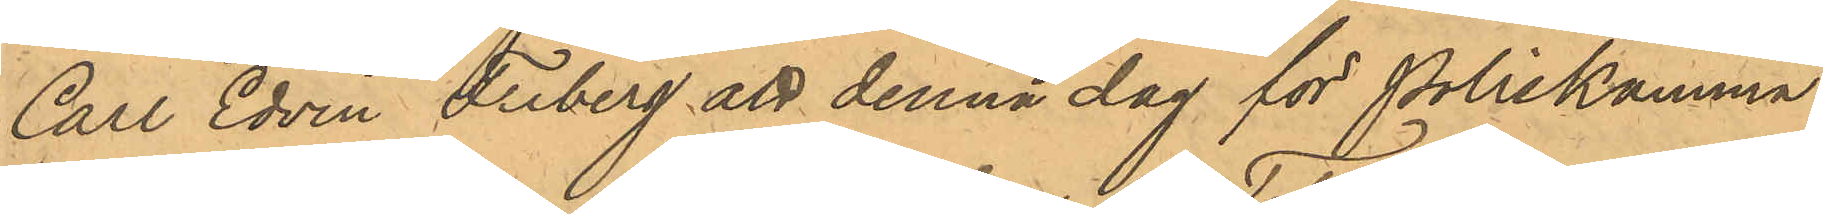Carl Edvin Friberg att denna dag för Poliskamma¬
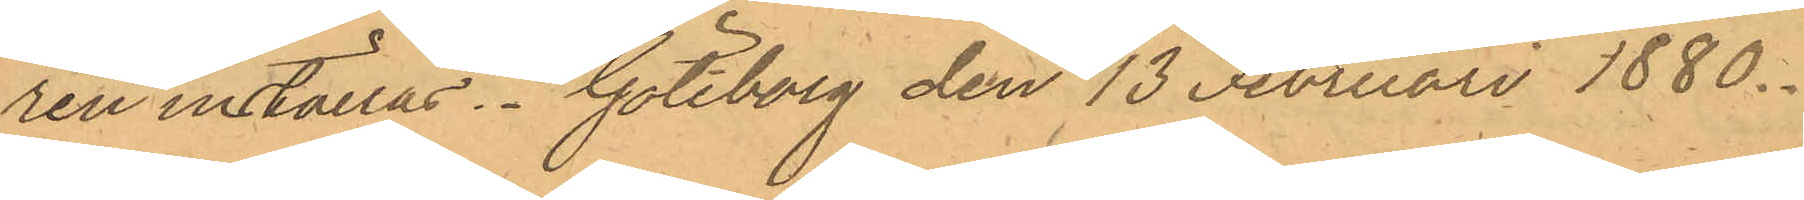ren inställas. Göteborg den 13 Februari 1880.
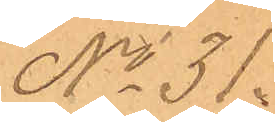No 31.
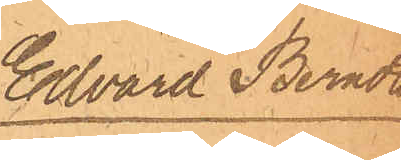Edvard Berndt¬
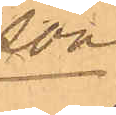son
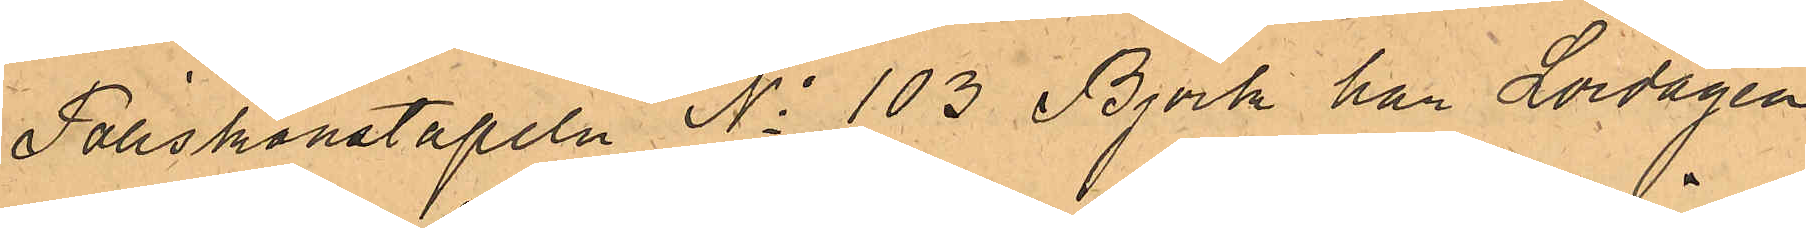Poliskonstapeln No 103 Björk har Lördagen
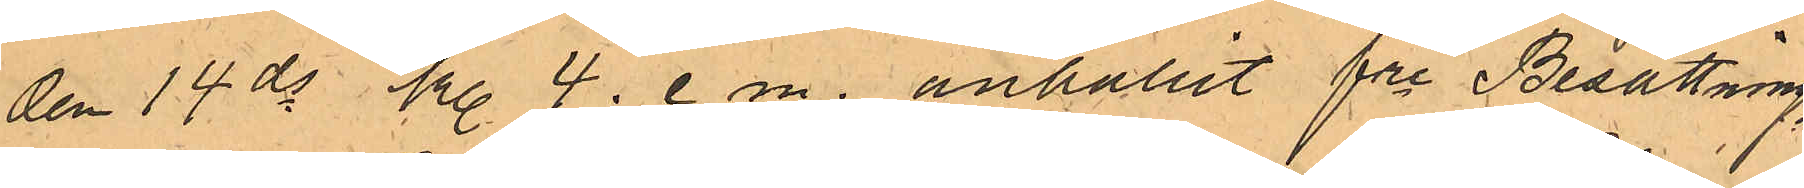den 14 ds kl. 4. e m. anhållit fre Besättnings¬
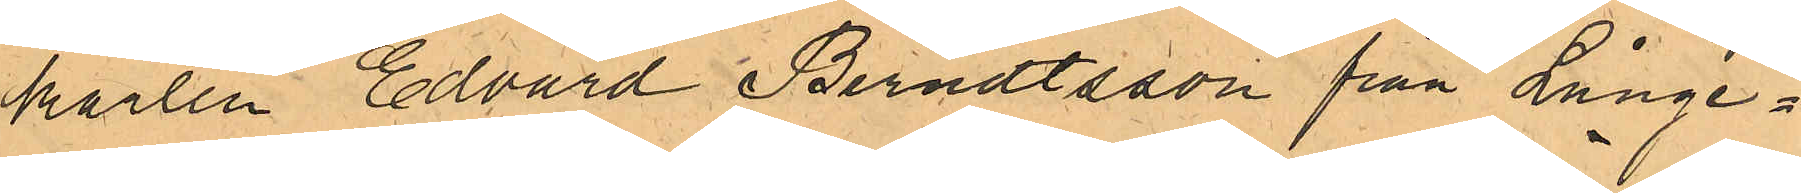karlen Edvard Berndtsson från Långe¬
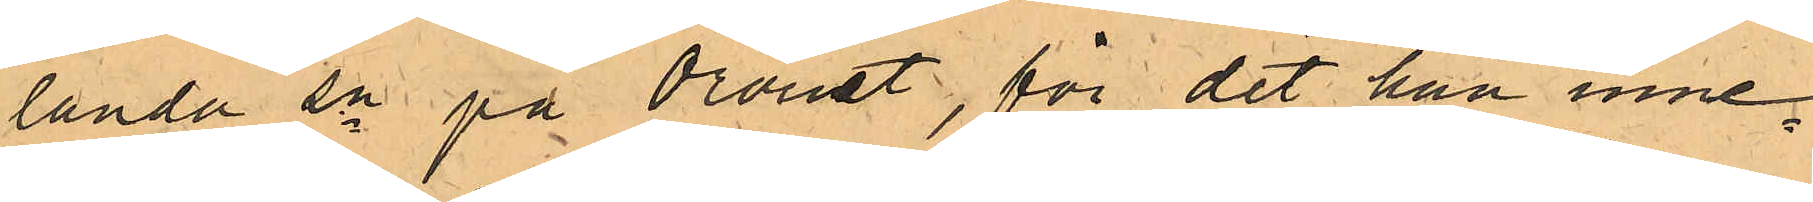landa sn på Oroust, för det han inne¬
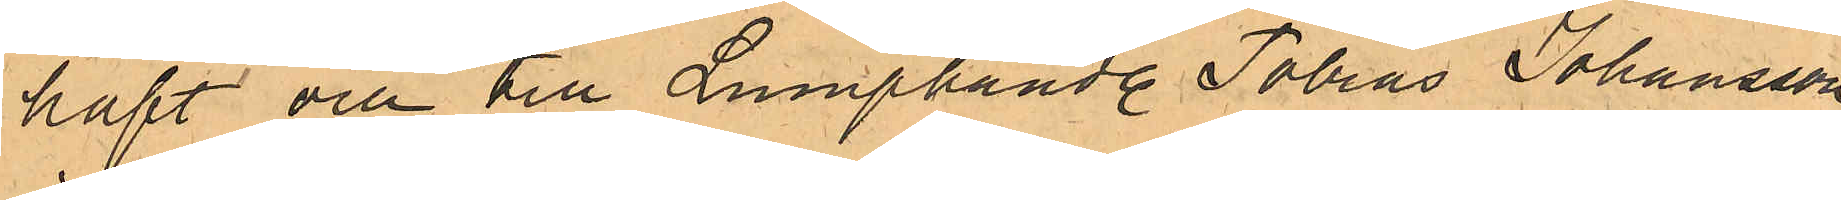haft och till Lumphandl. Tobias Johansson
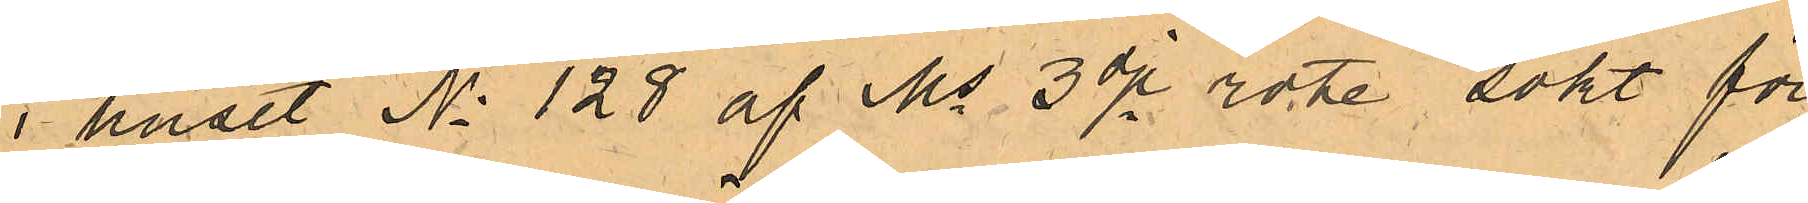i huset No 128 af Ms 3dje rote sökt för¬
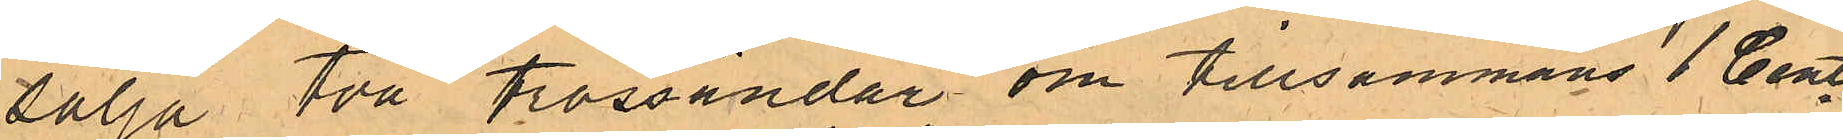försälja två trossändar om tillsammans 1 Cent¬
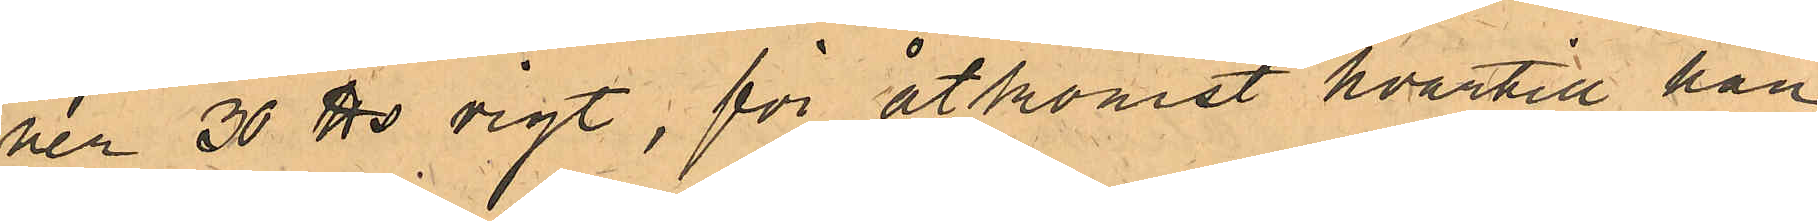ner 30 ℔ vigt, för åtkomst hvartill han
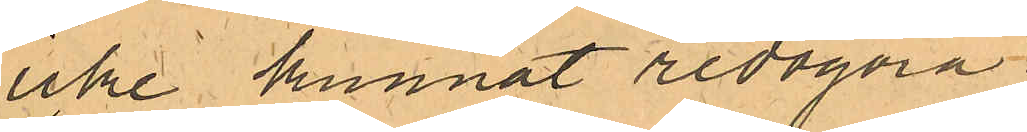icke kunnat redogöra.
